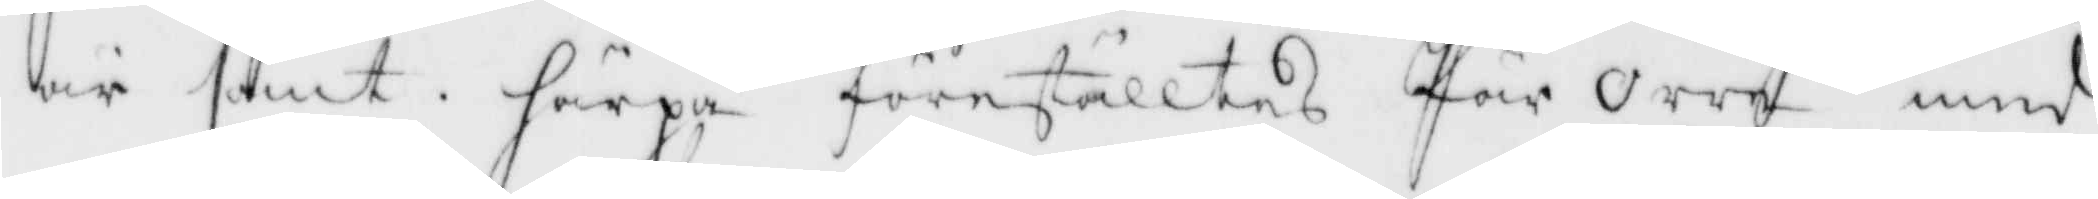är sant, härpå föreställtes Pär Orre med
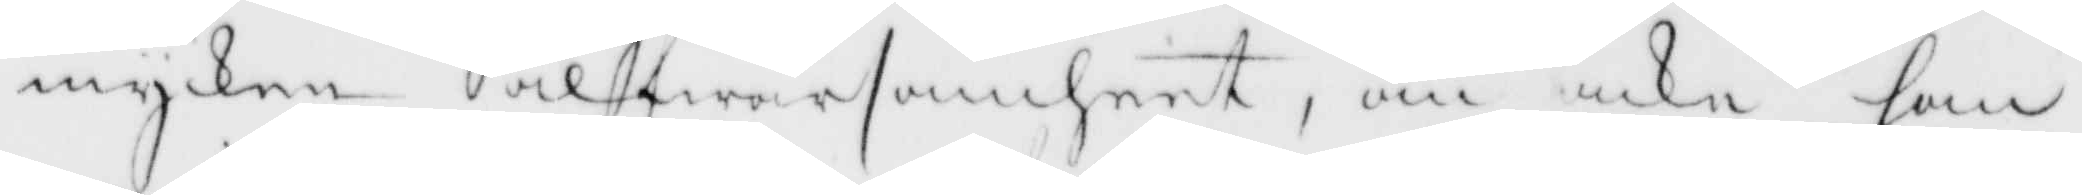mycken alfwarsamheet, om icke han
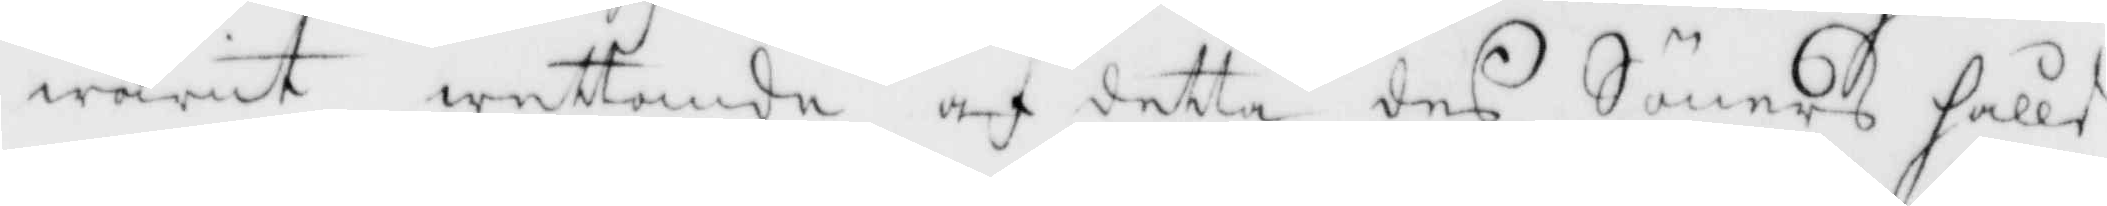warit wettande af detta des Söners håll¬
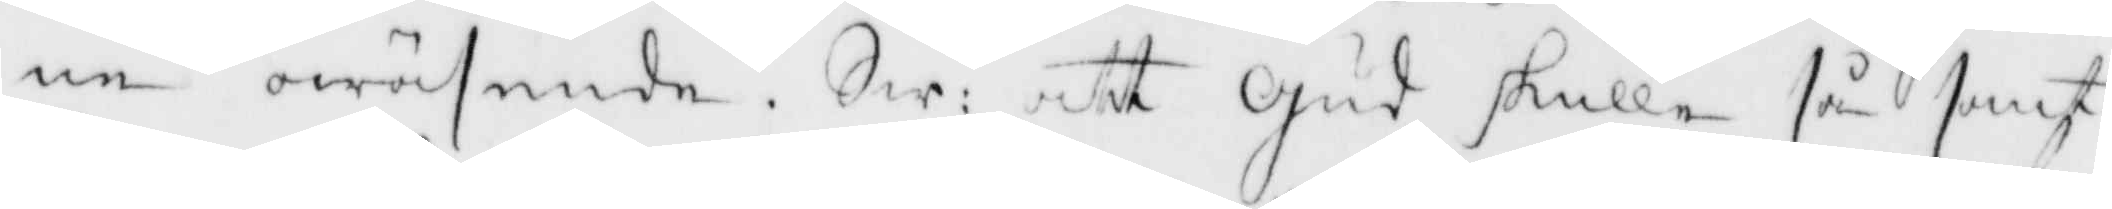ne owäsende. Sw: att Gud skulle så samt
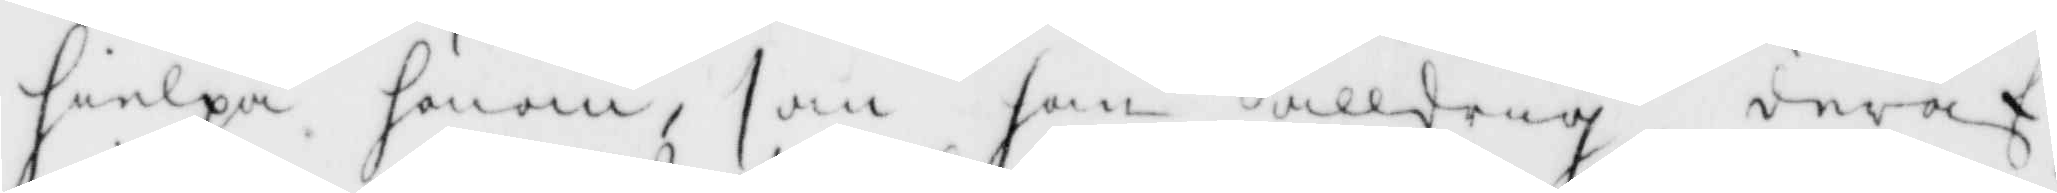hielpa honom, som han alldrig deraf
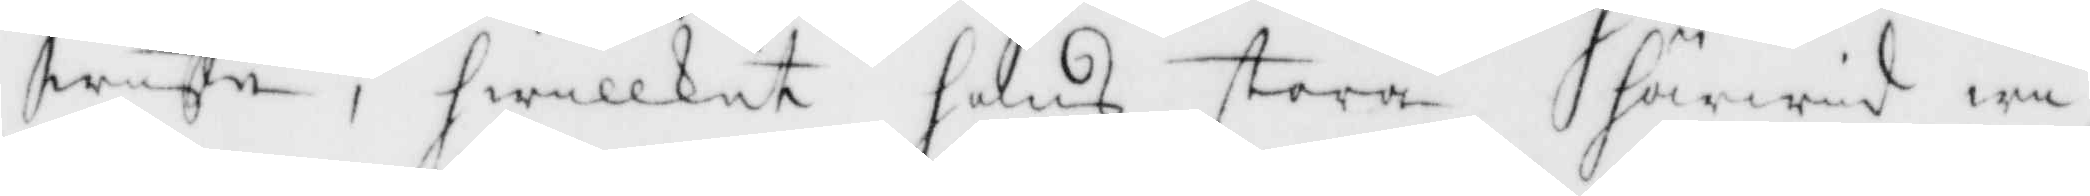wiste, hwilket hans stora härwid wi¬
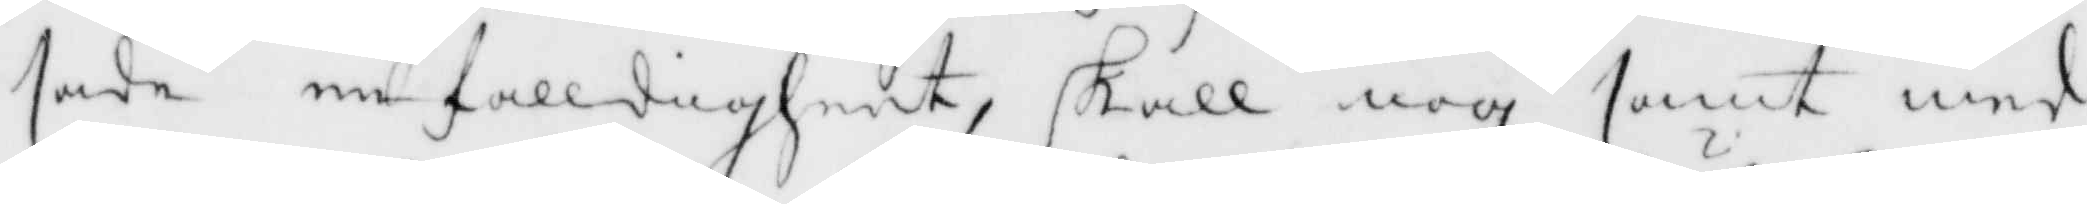sade enfalldigheet, skall nog samt med
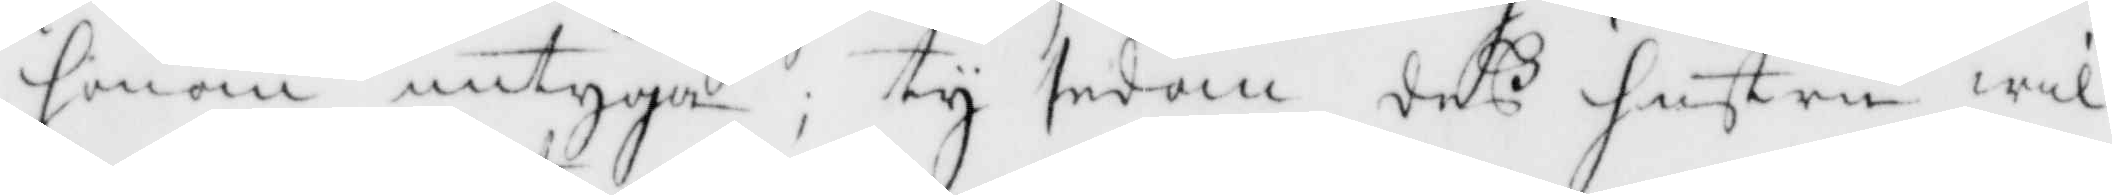honom intyga; ty sedan deß hustru wil¬
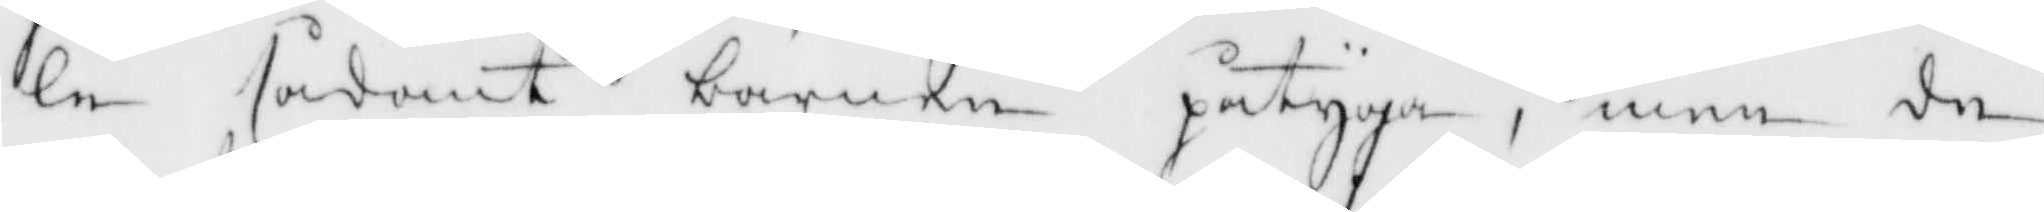le sådant barnen påtyga, men de
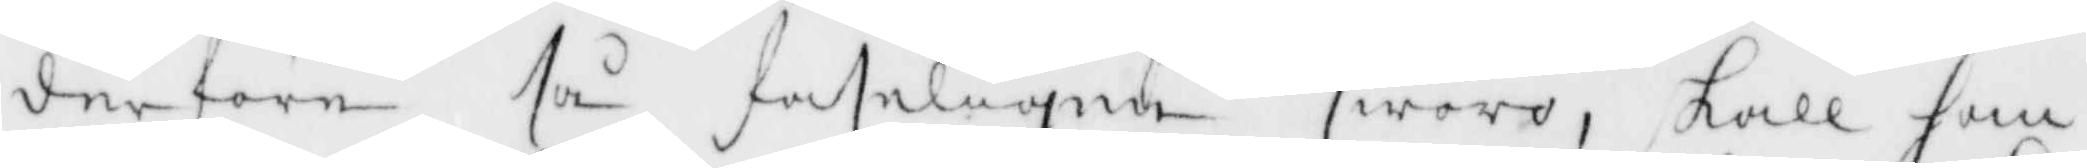derföre så faseligen woro, skall han
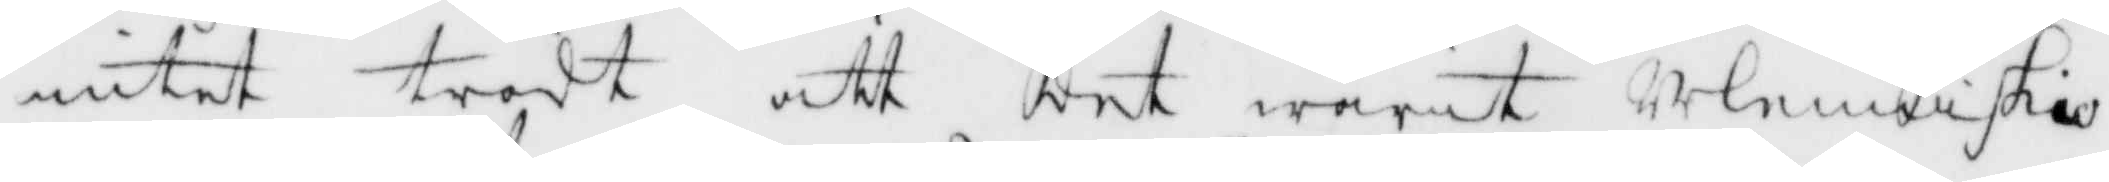intet trodt att det warit Menniskio¬
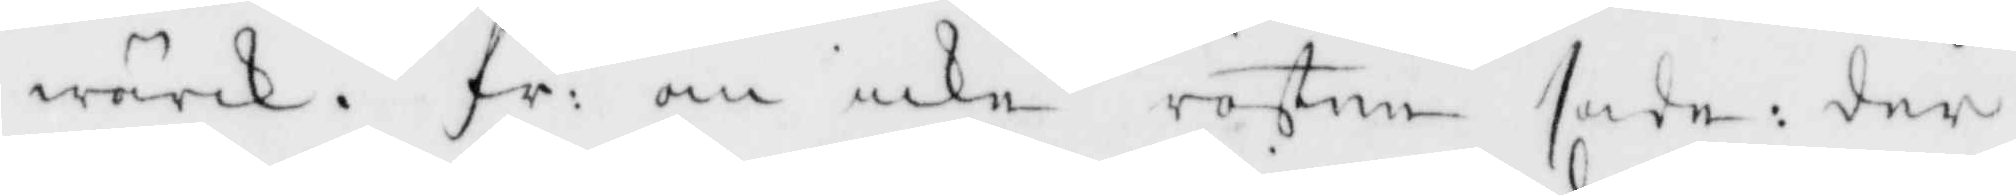wärk, fr: om icke rösten sade: der
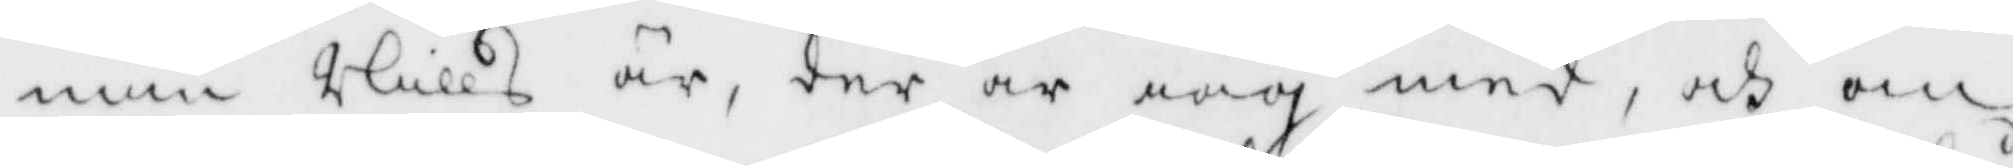min Nills är, der är iag med, och om
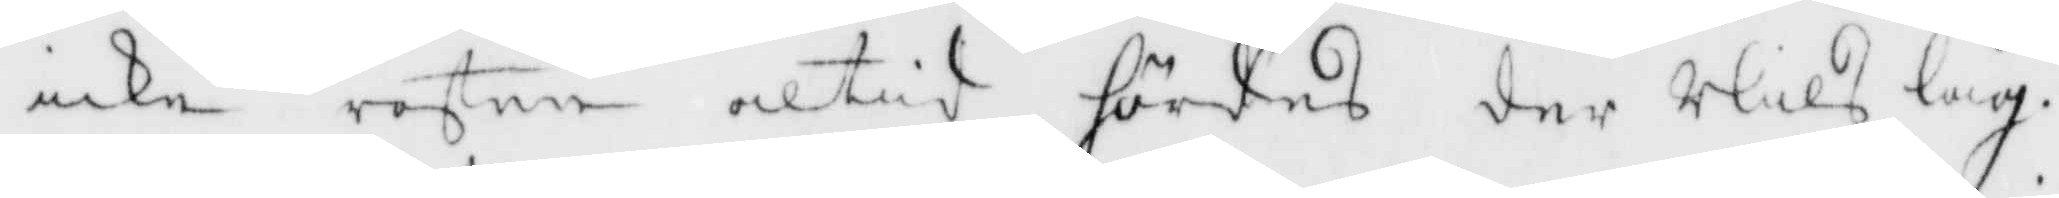icke rösten altid hördes der Nils låg.
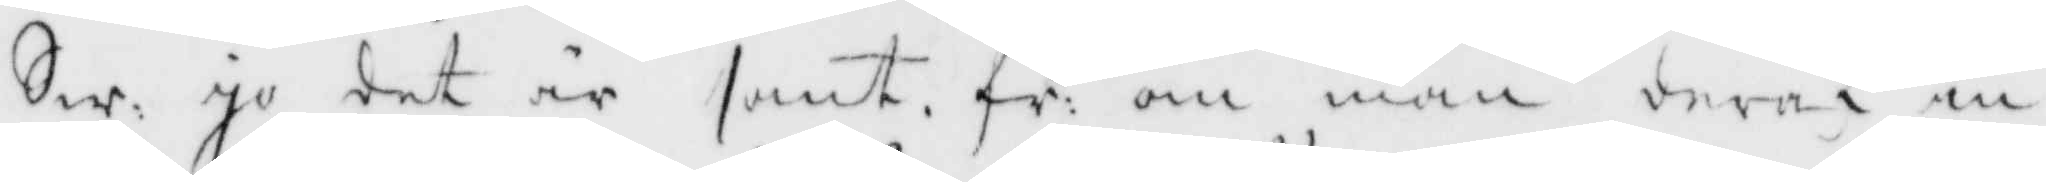Sw, Ja det är sant, fr: om man deraf in¬
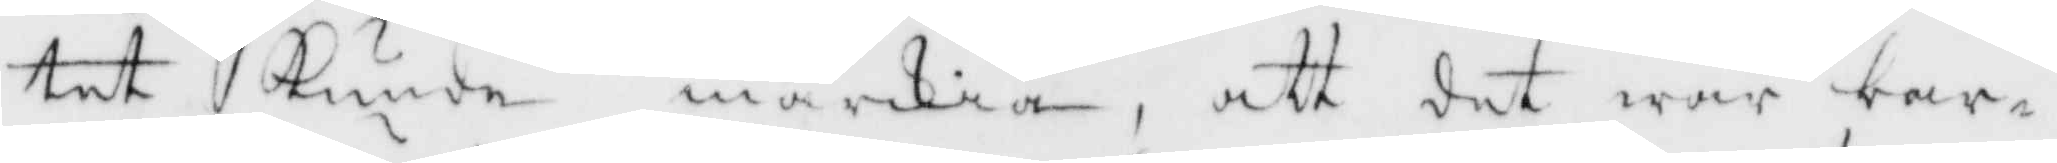tet Kunde märkia, att det war bar¬
